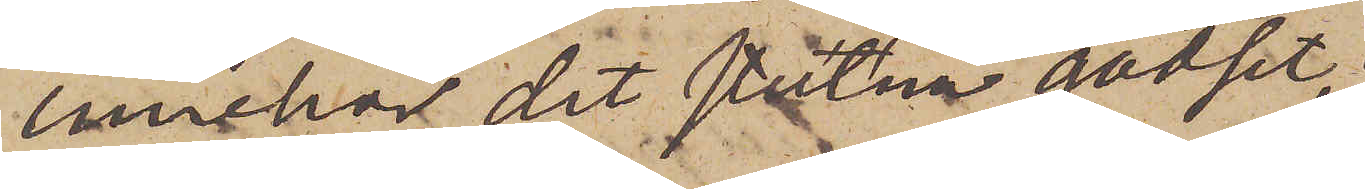innehar det stulna godset,
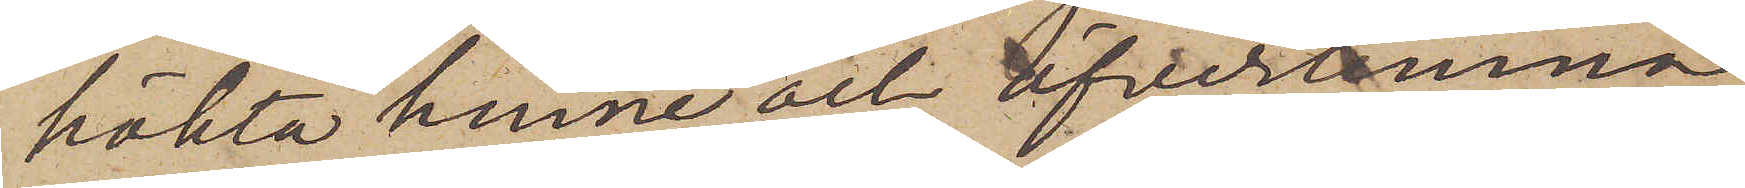häkta henne och öfverlemna
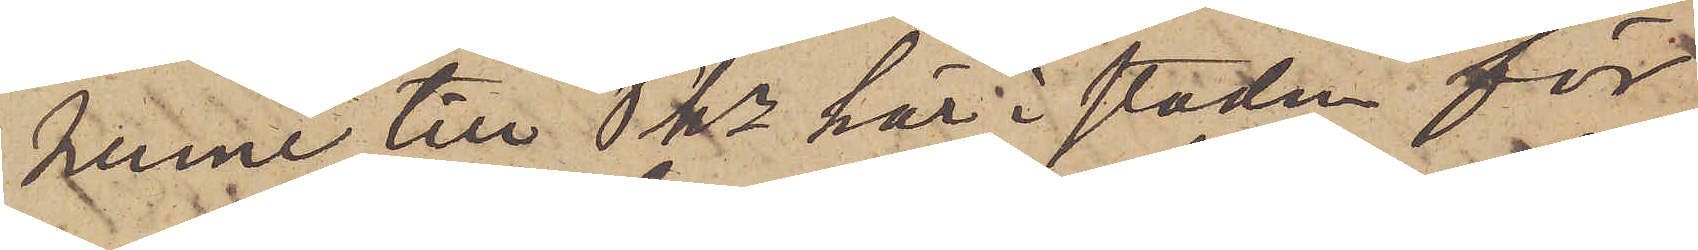henne till Pkn här i staden för
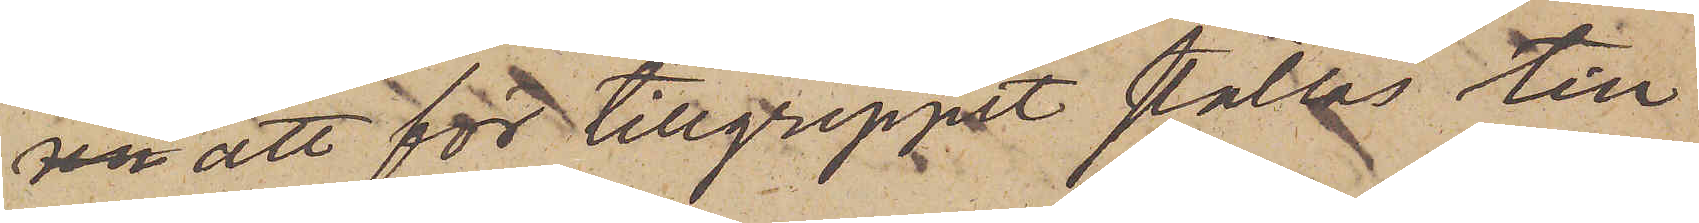att för tillgreppet ställas till
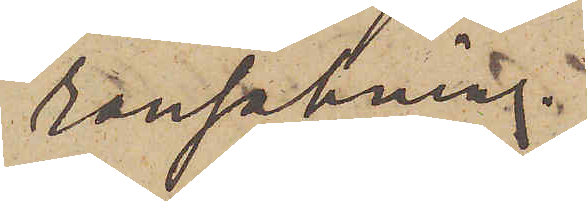ransakning.
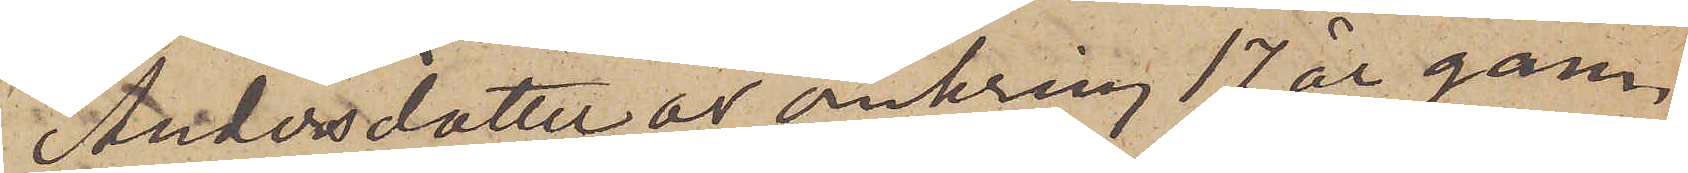Andersdotter är omkring 17 år gam¬
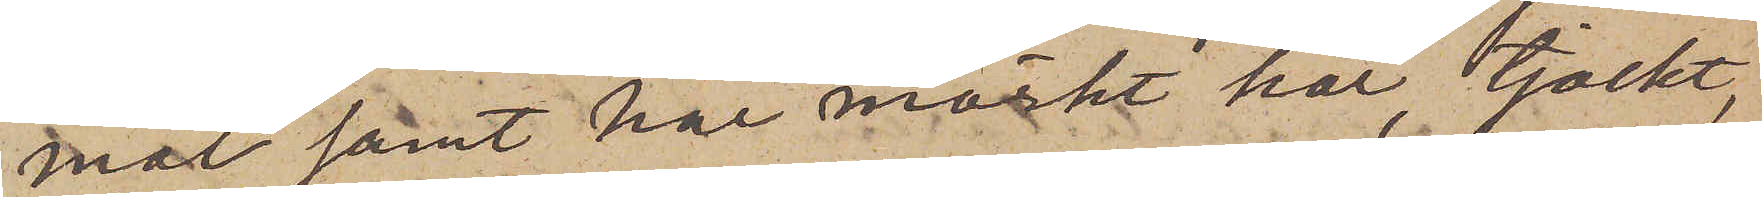mal samt har mörkt hår, tjockt,
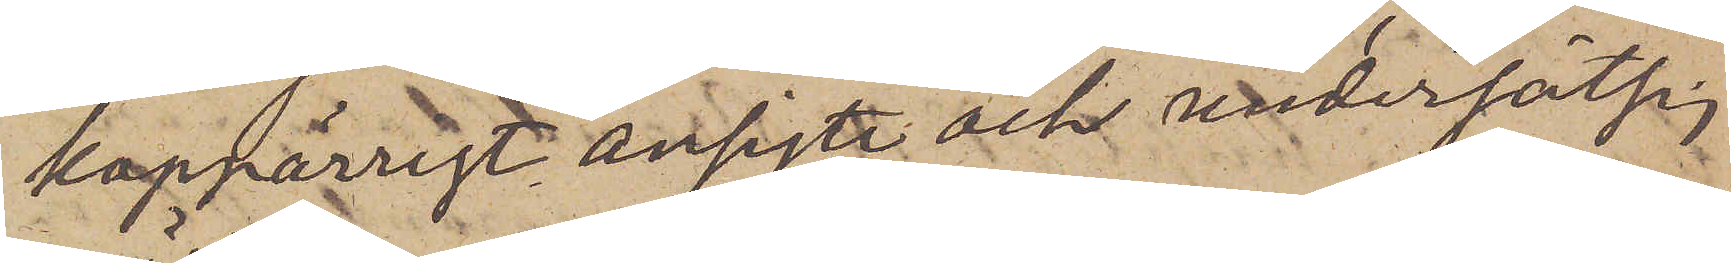koppärrigt ansigte och undersätsig
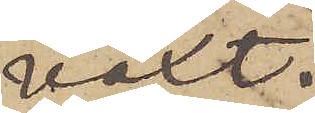växt.
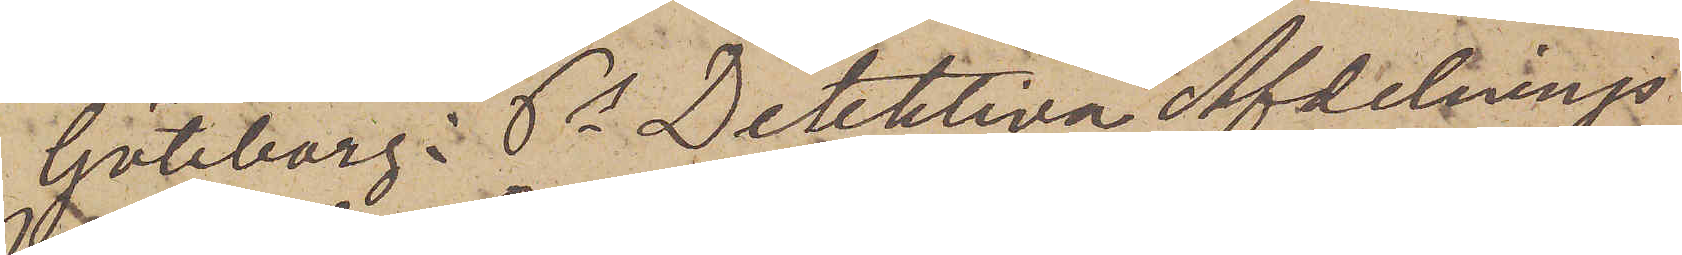Göteborg Ps Detektiva afdelnings¬
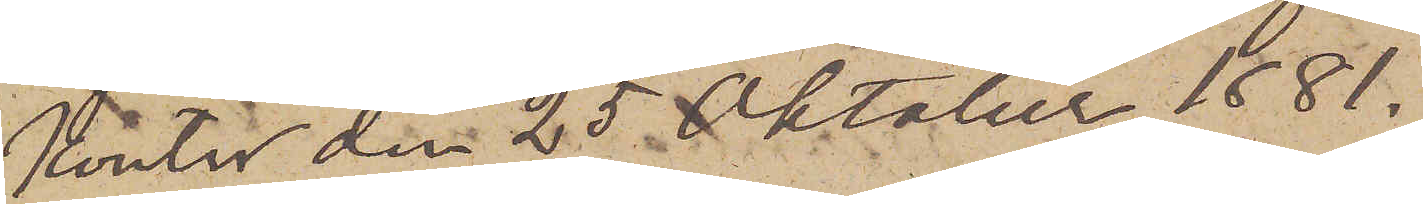kontor den 25 Oktober 1881.
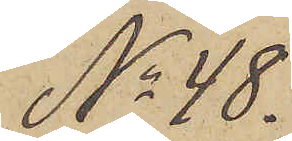No 48.
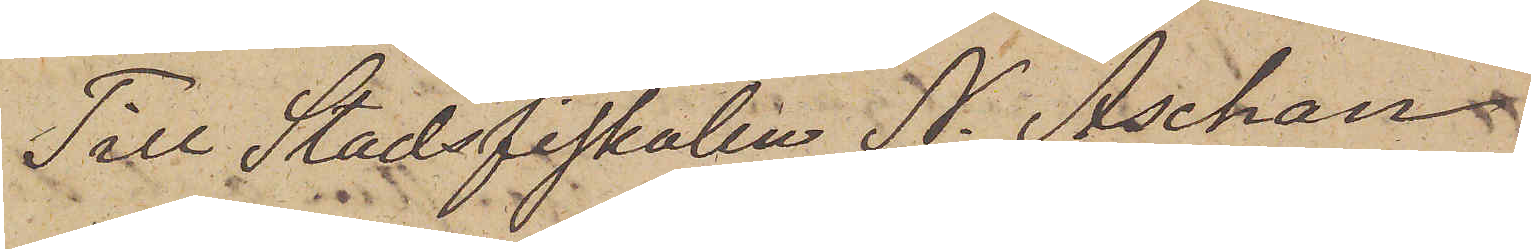Till Stadsfiskalen N. Aschan
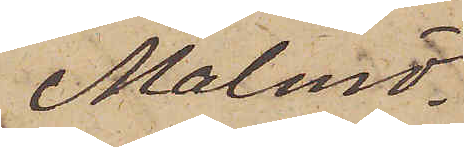Malmö.
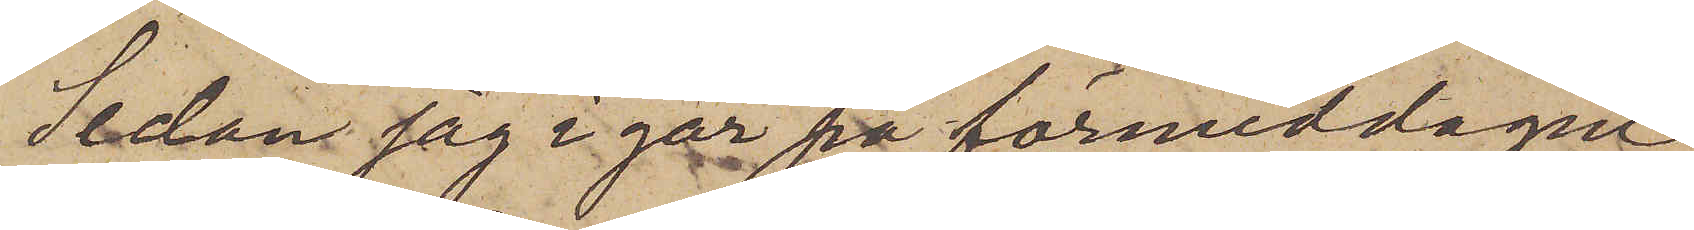Sedan jag i går på förmiddagen
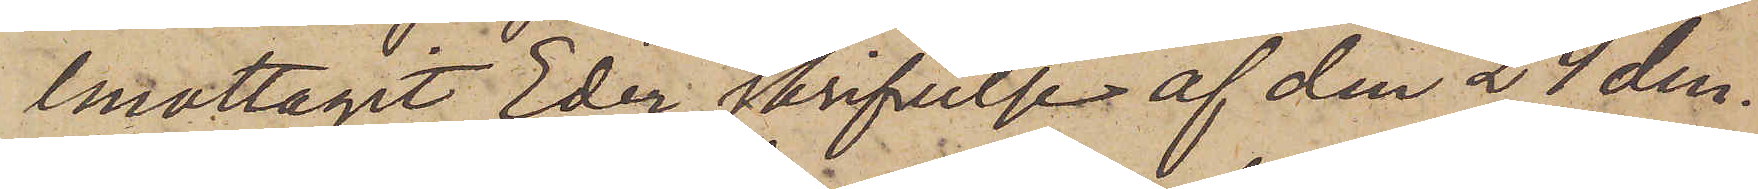emottagit Eder skrifvelse af den 24 den¬
